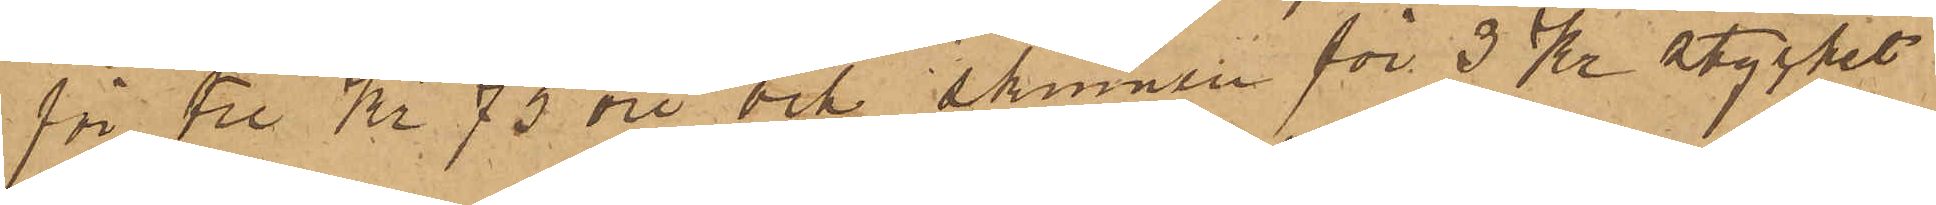för Tre Kr 75 öre och skinnen för 3 Kr stycket
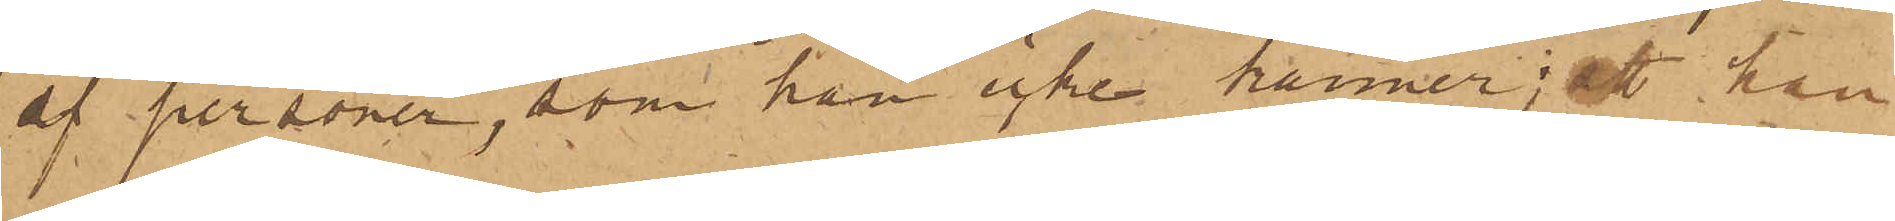af personer, som han icke känner; att han
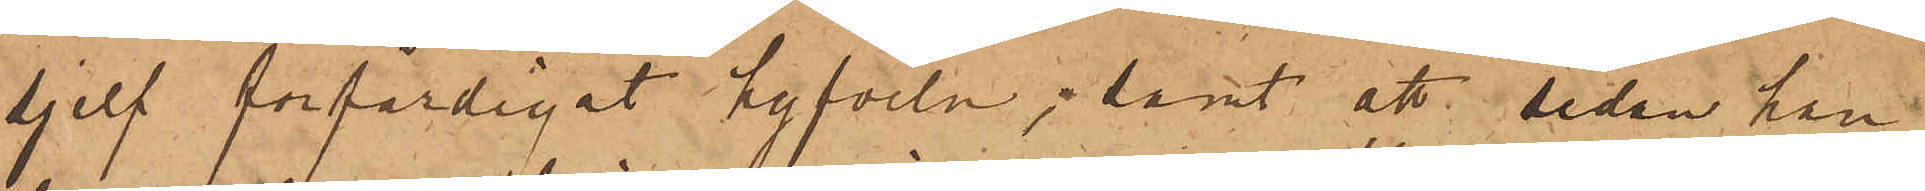sjelf förfärdigat hyfveln; samt att sedan han
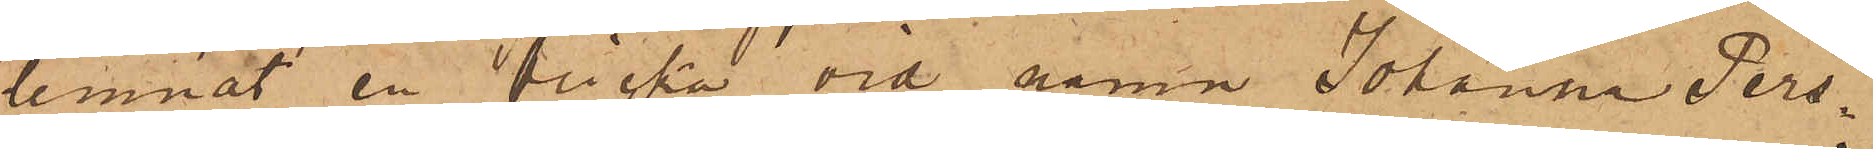lemnat en "flicka" vid namn Johanna Pers¬
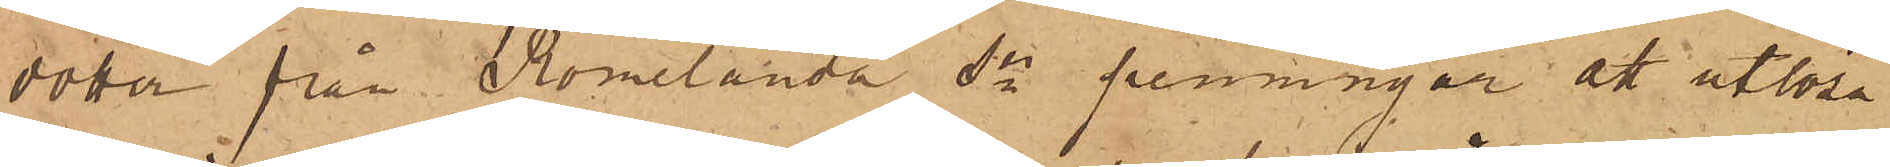dotter från Romelanda Sn penningar att utlösa
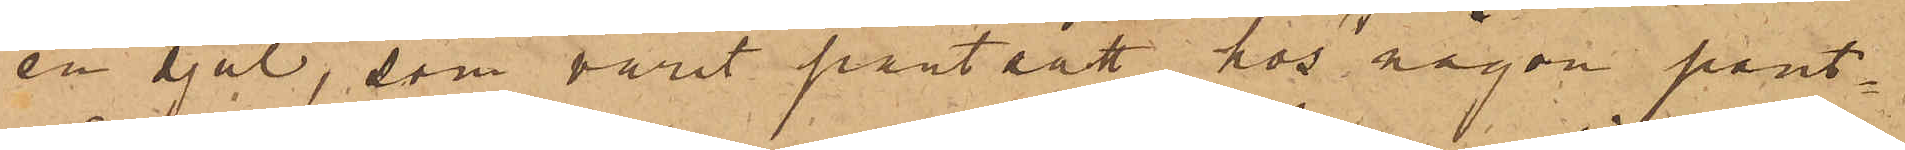en sjal, som varit pantsatt hos någon pant¬
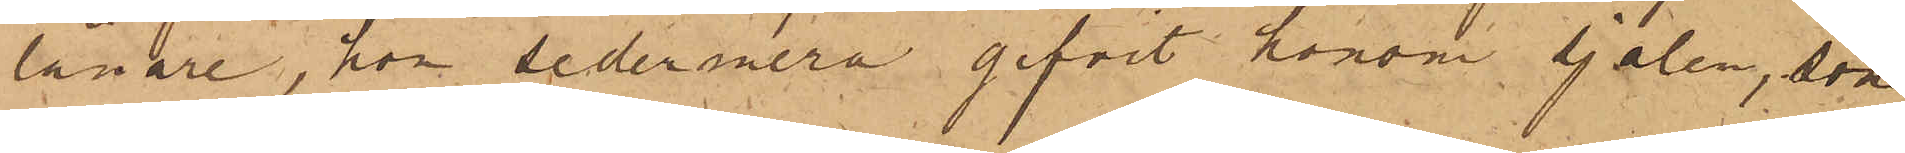lånare, hon sedermera gifvit honom sjalen, som
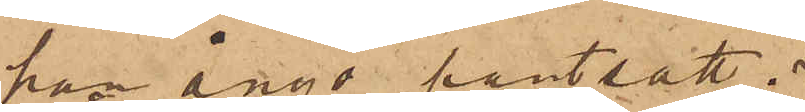han ånyo pantsatt.
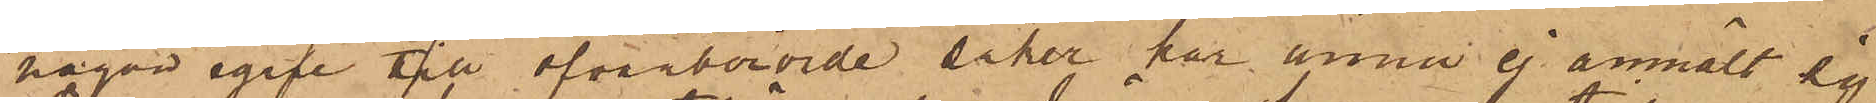någon egare till ofvanberörde saker har ännu ej anmält sig
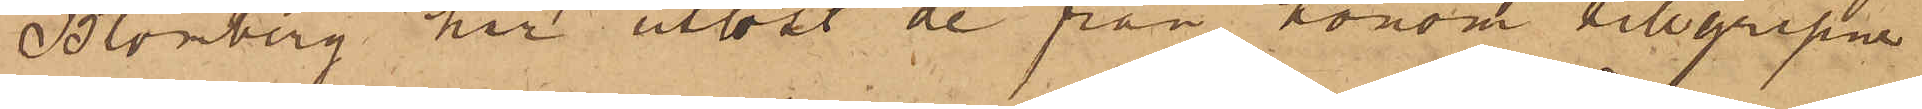Blomberg har utlöst de från honom tillgripne
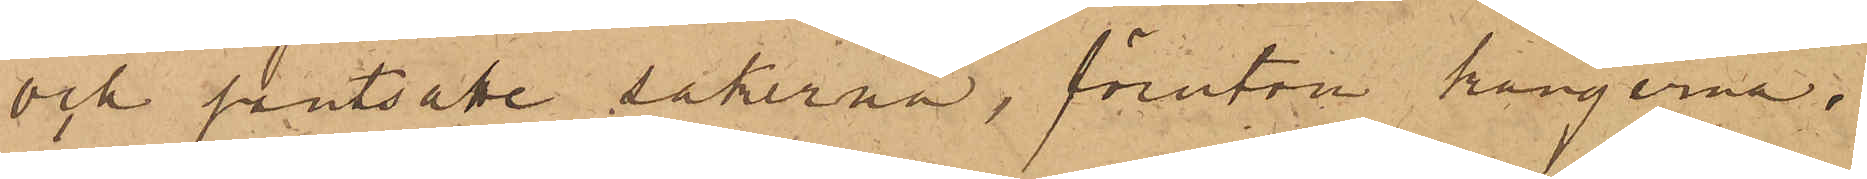och pantsatte sakerna, förutom kängerna.
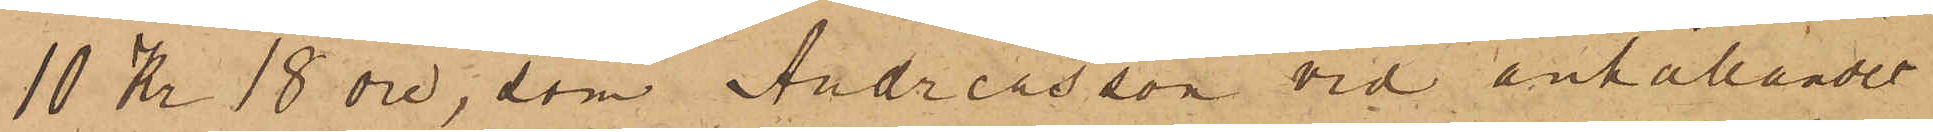10 Kr 18 öre, som Andreasson vid anhållandet
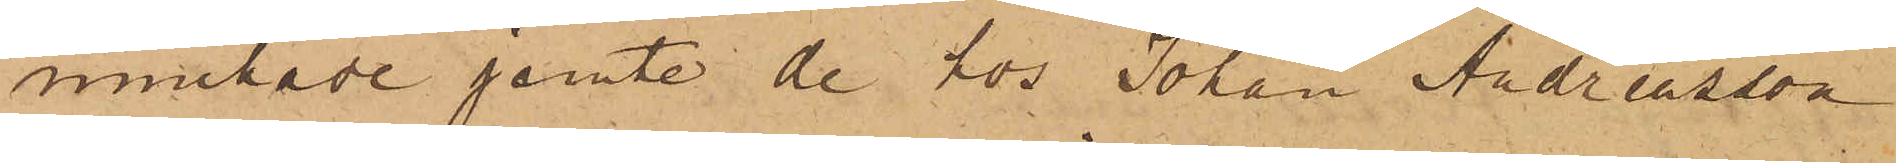innehade jemte de hos Johan Andreasson
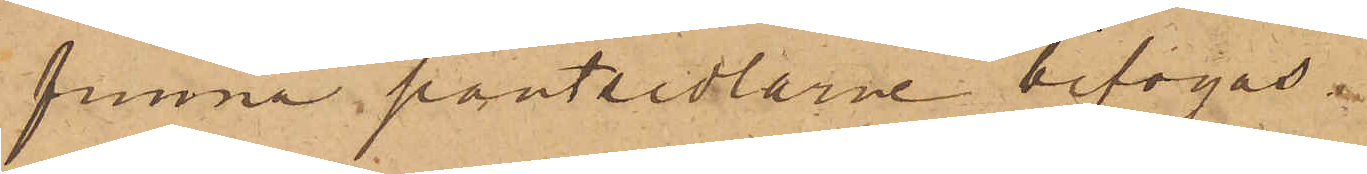funna pantsedlarne bifogas.
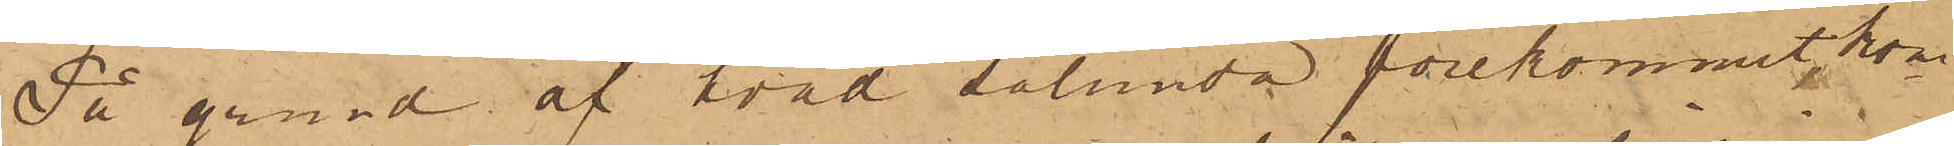På grund af hvad sålunda förekommit, kom¬
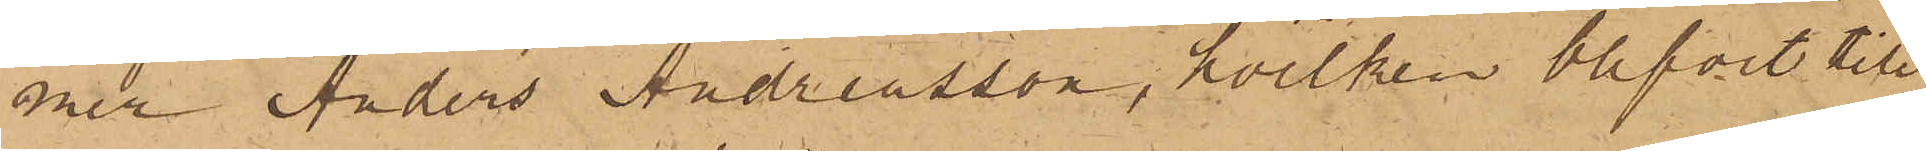mer Anders Andreasson, hvilken blifvit till
